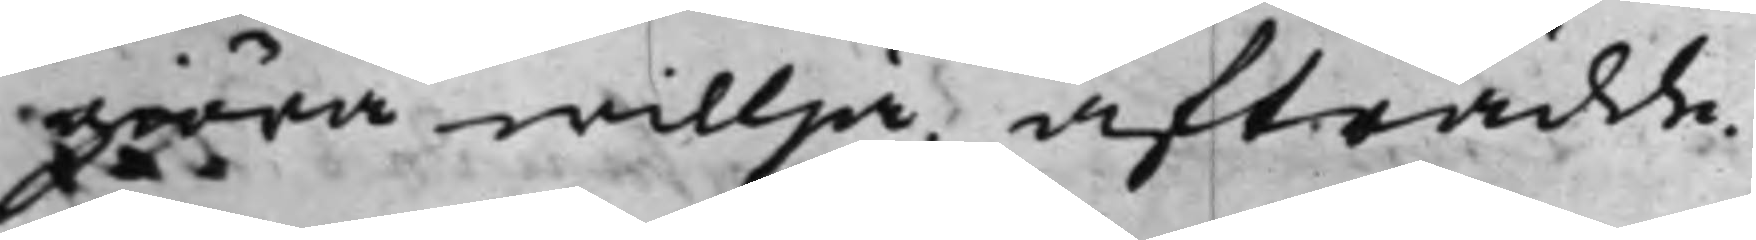giöra willja. Afträdde.
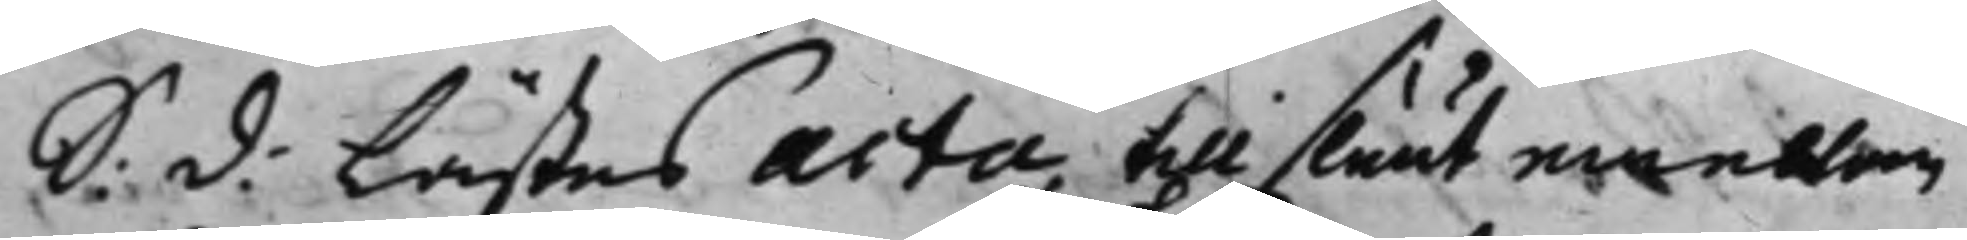S: d: Lästes acta till sluut emellan
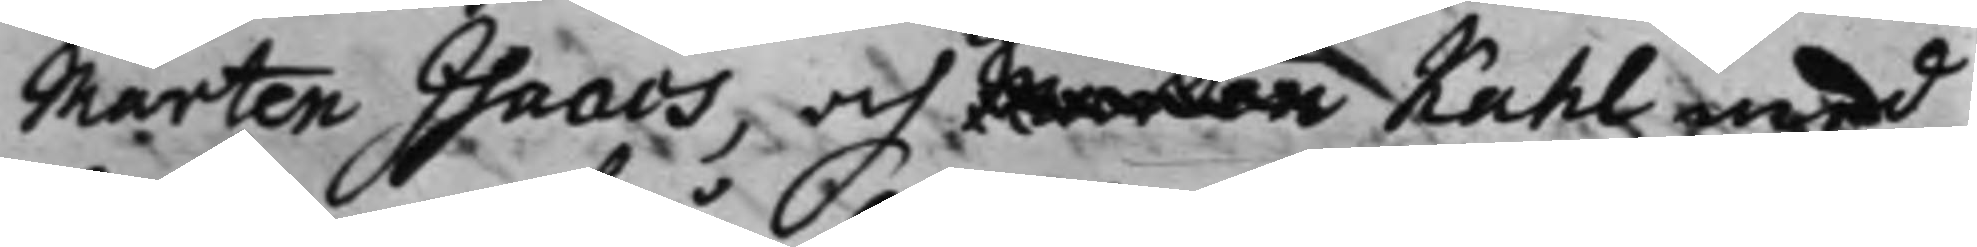Mårten Isaacs, och Mårten Kahl med
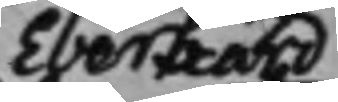Eberhard
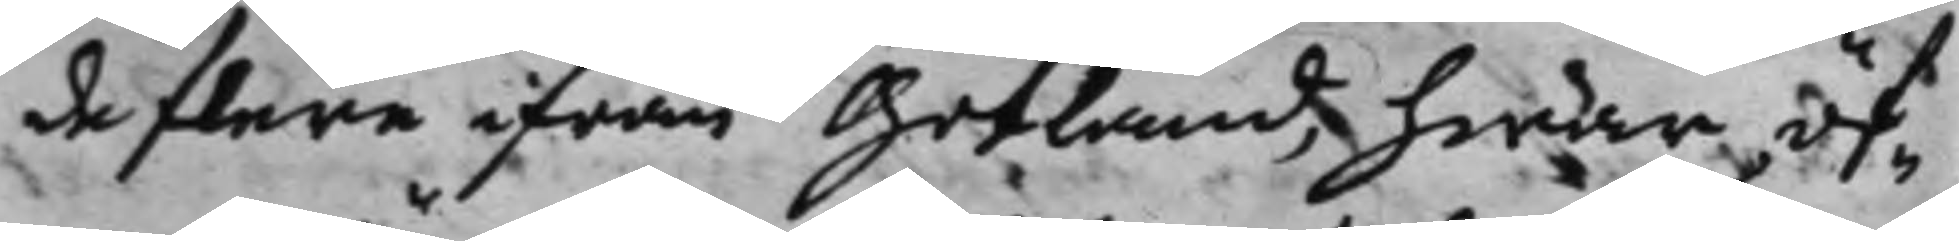de flere ifrån Gotland, hwar öf¬
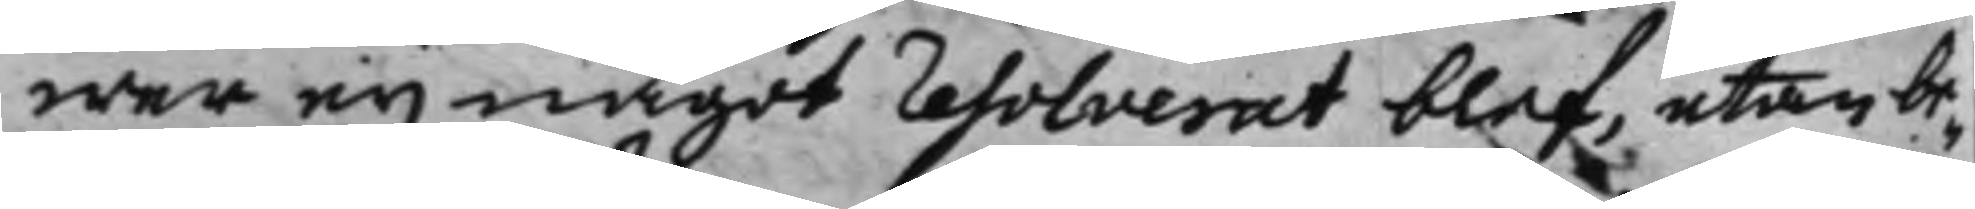wer ey något resolverat blef, utan be¬
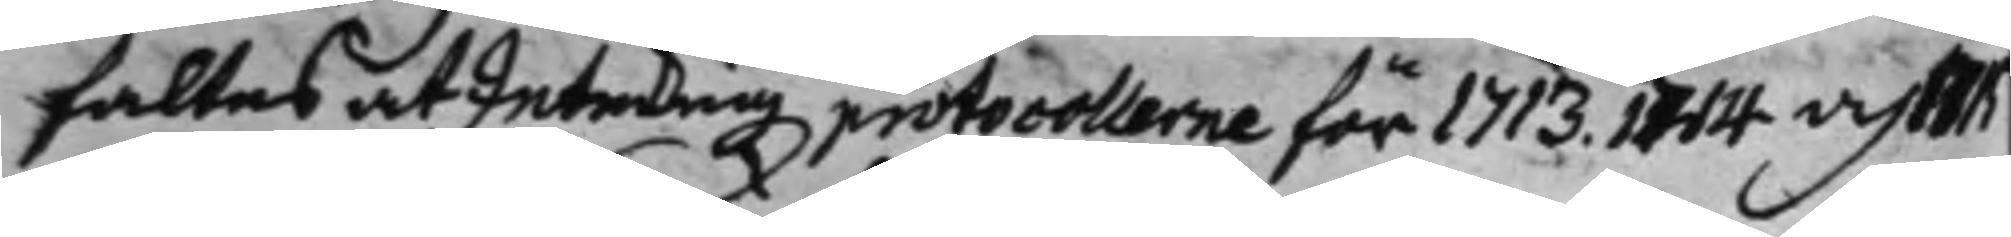faltes at Inteckningz protocollerne för 1713, 1714 och 1715
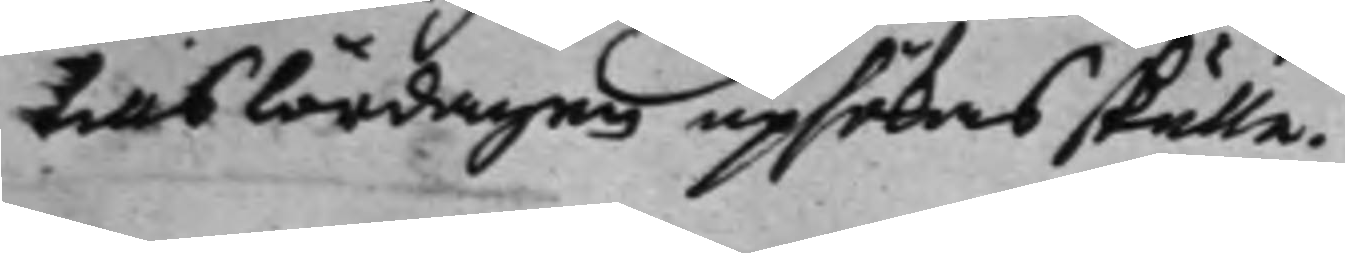tills lördagen upsökas skulle.
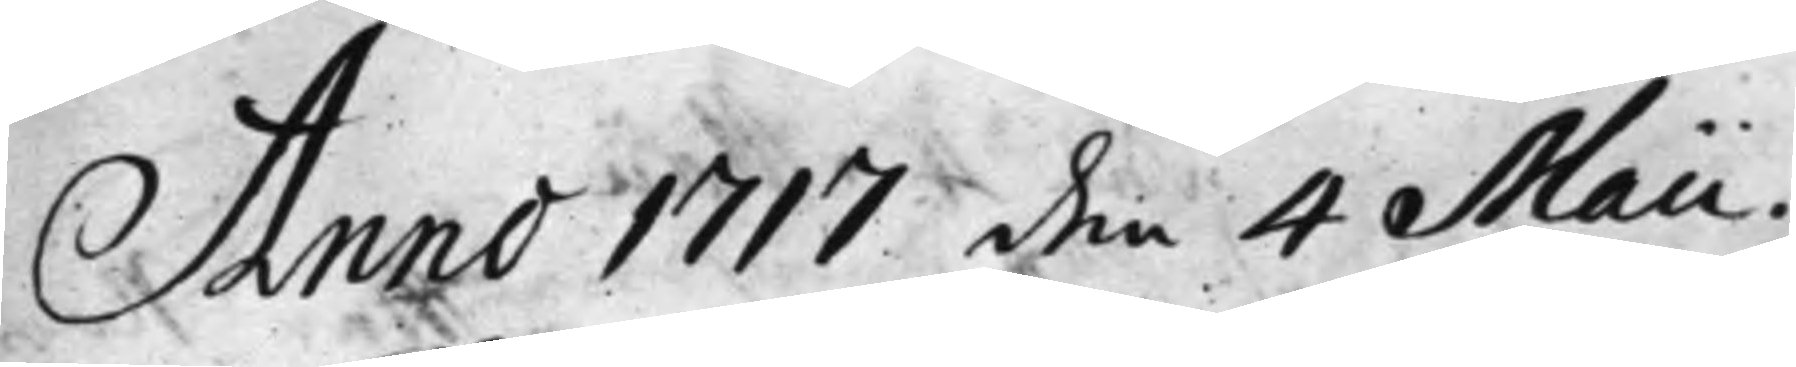Anno 1717 den 4 Maii.
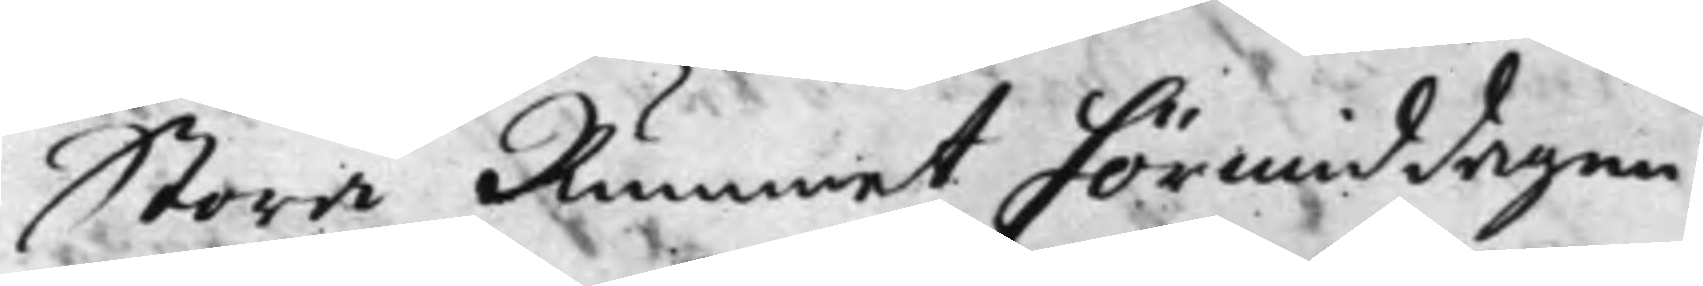Stora Rummet förmiddagen
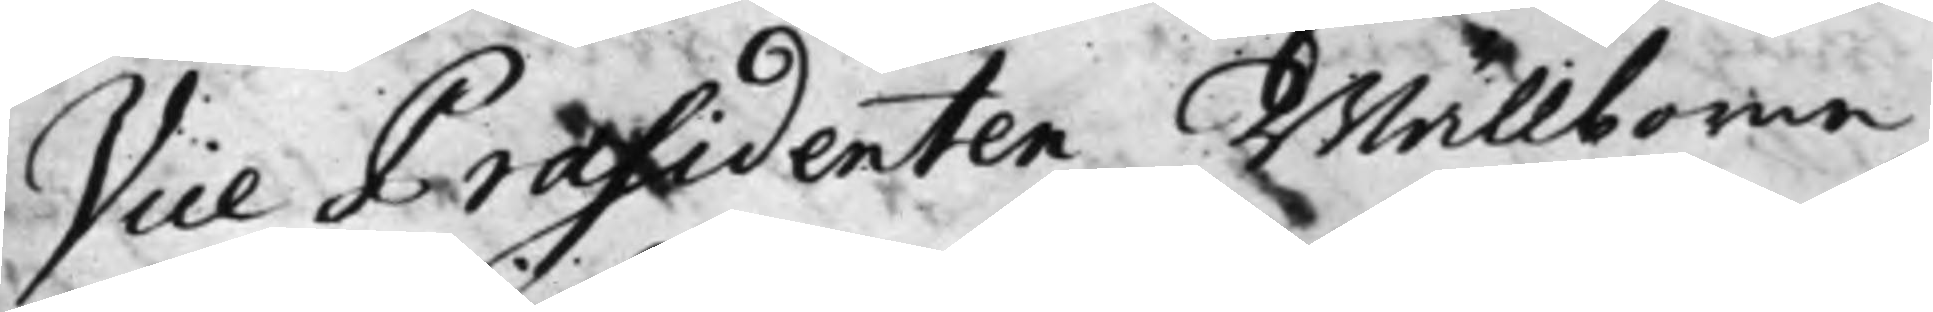Vice Praesidenten Wällborne
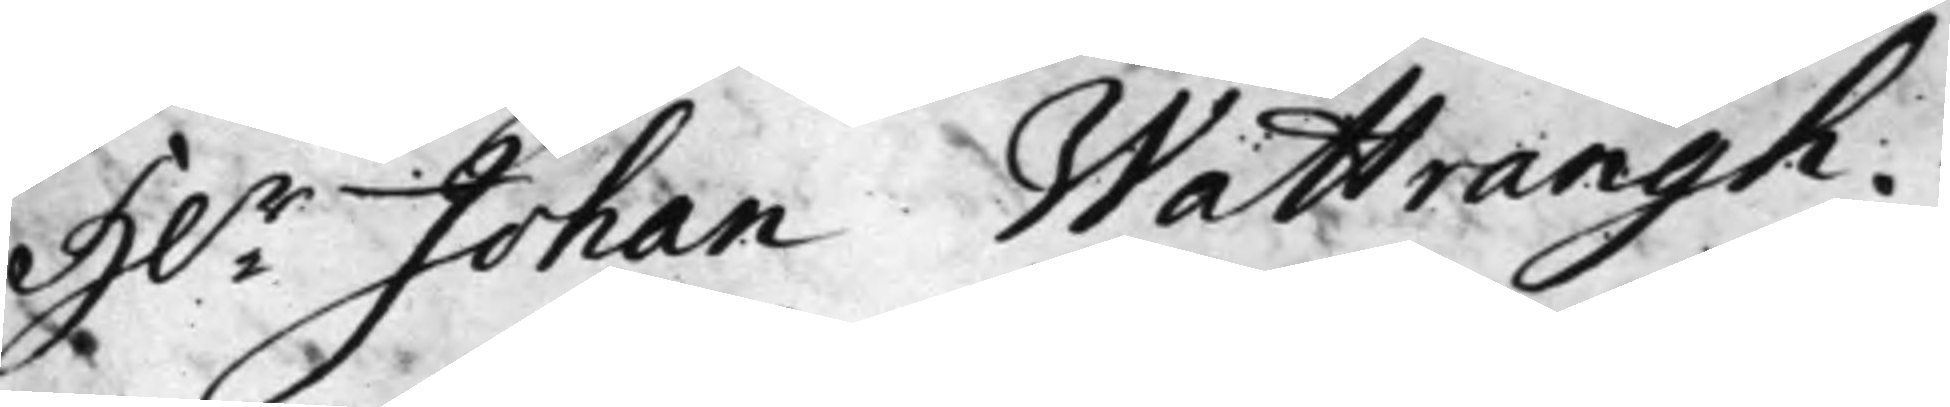H.r Johan Wattrangh.
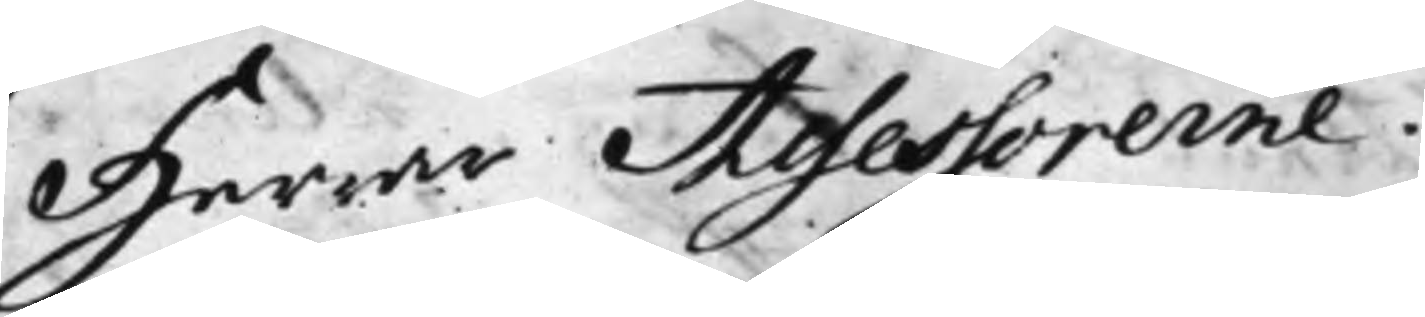Herrar Assessorerne
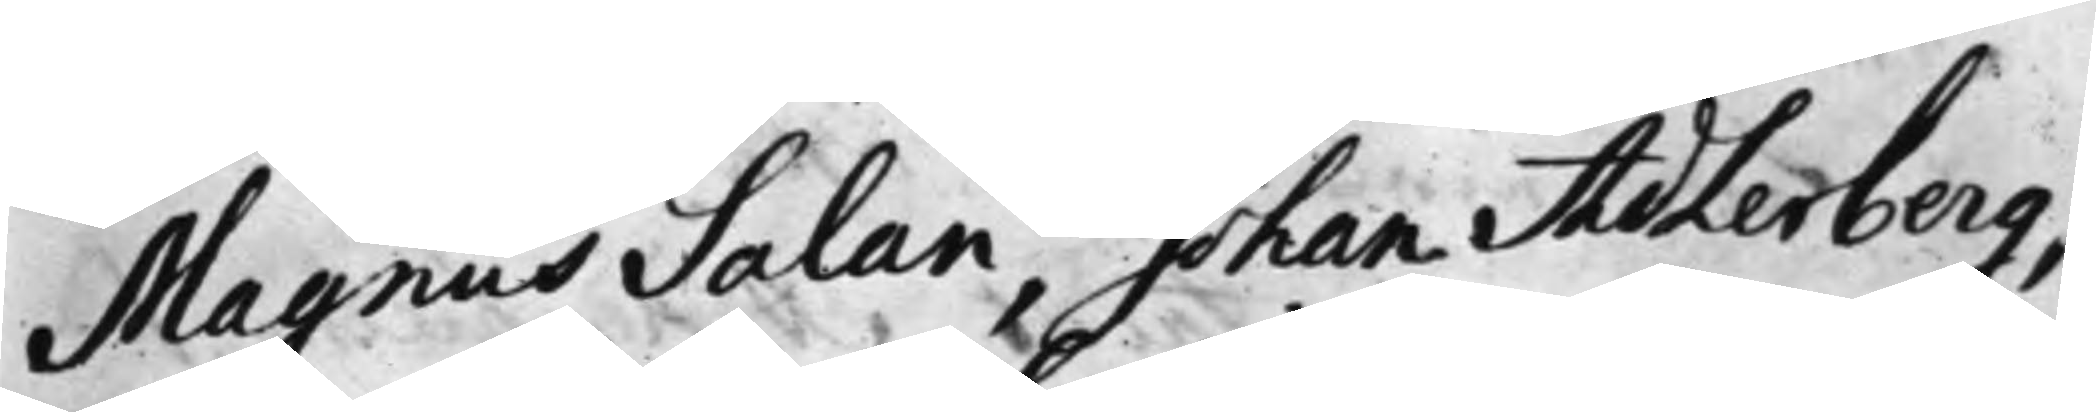Magnus Salan, Johan Adlerberg,
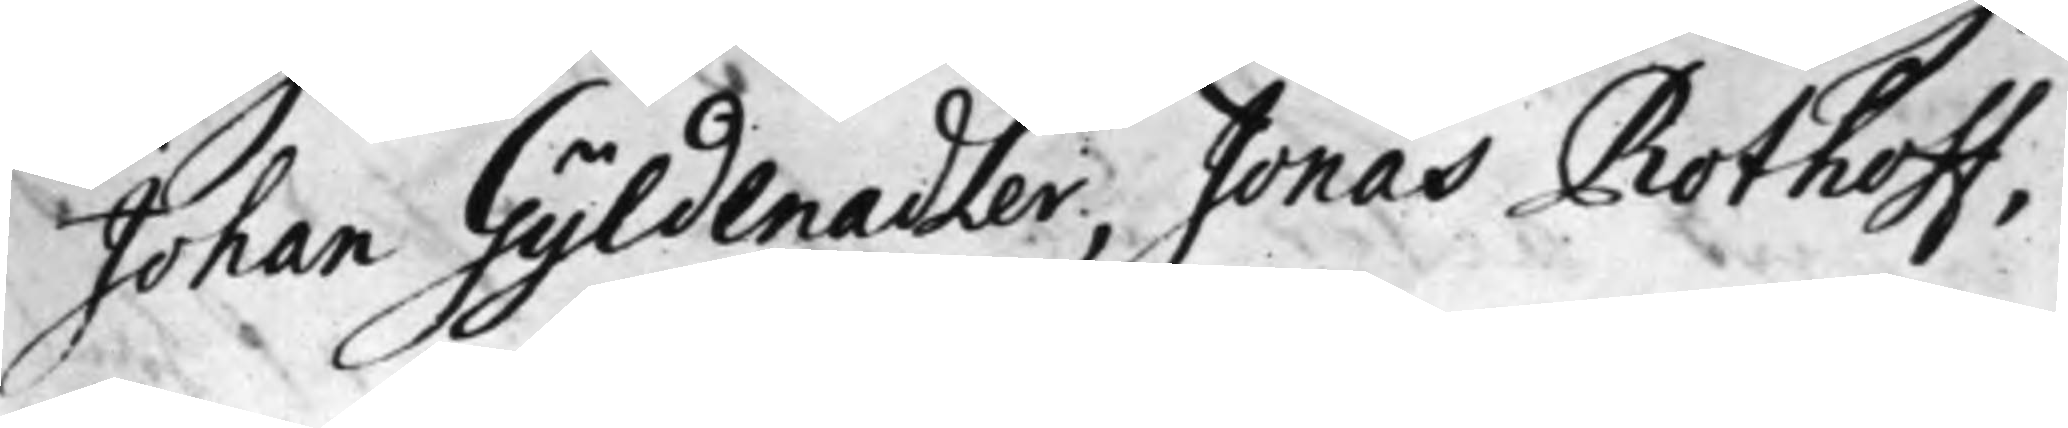Johan Gyldenadler, Jonas Rothoff,
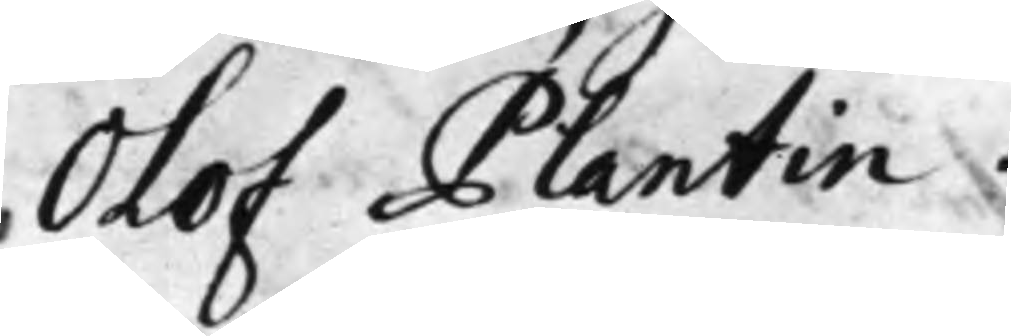Olof Plantin.
